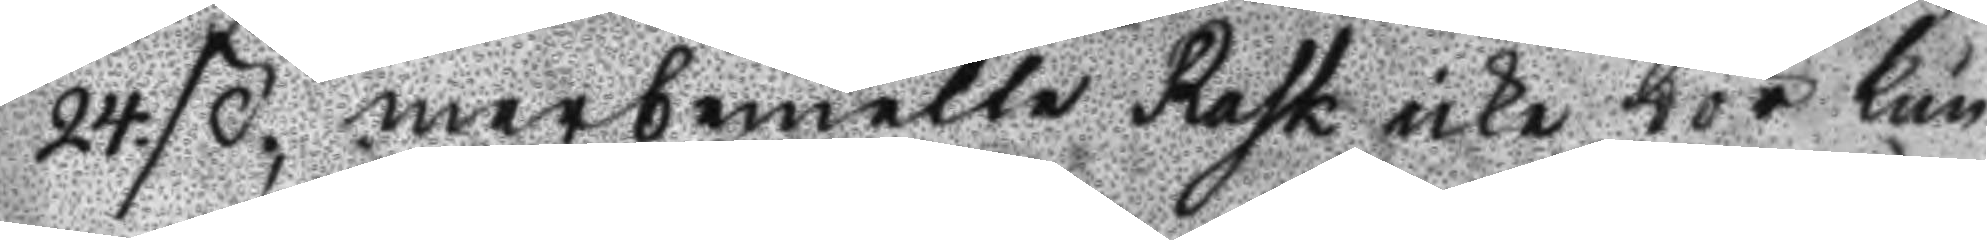24. ß., merbemelte Rask icke bör kun
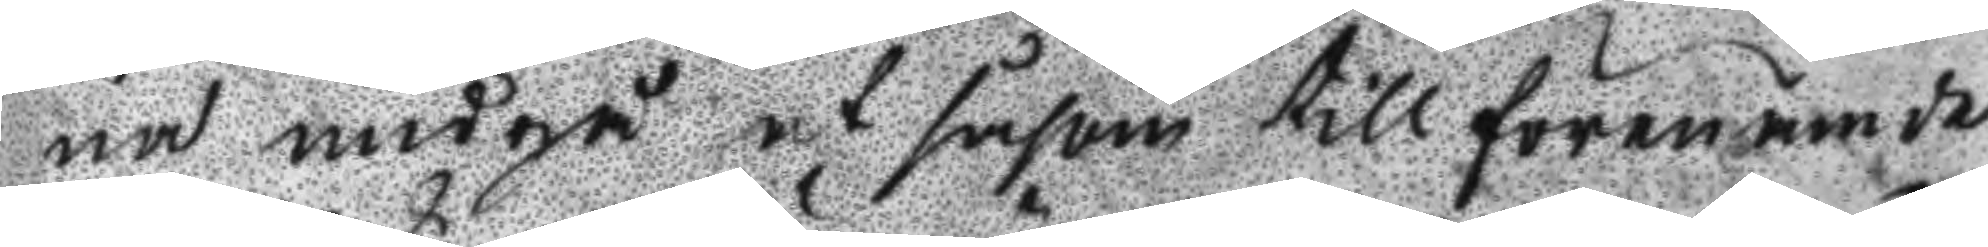na undgå at såsom till förenämde
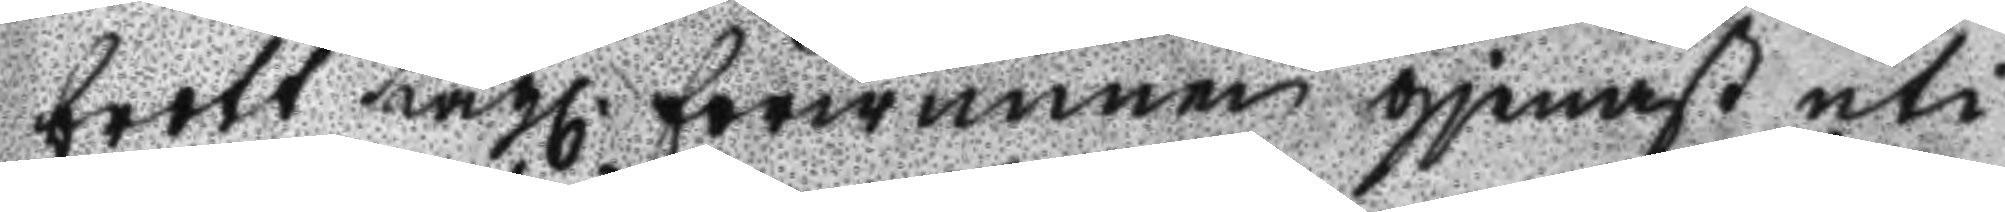brott Lagl. förwunnen gjenast uti
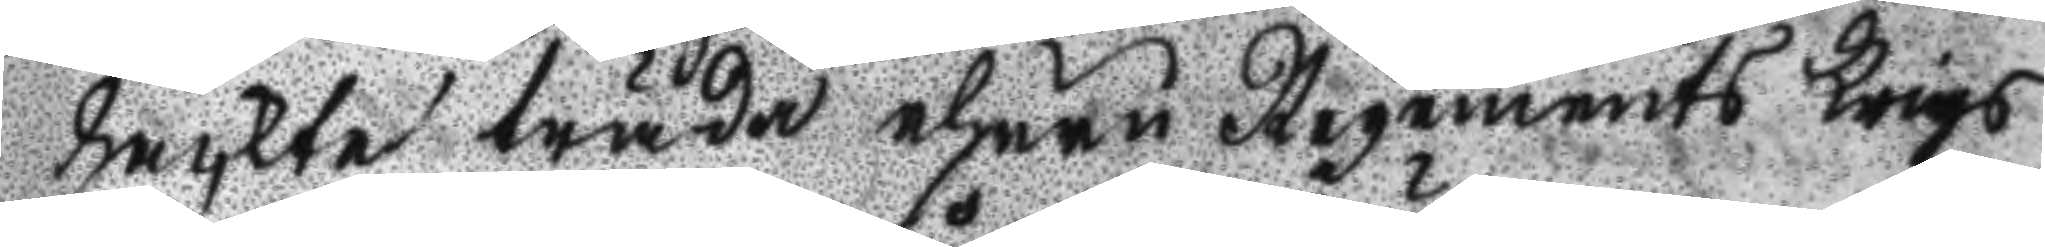häckte träda ehuru Regements Krigs
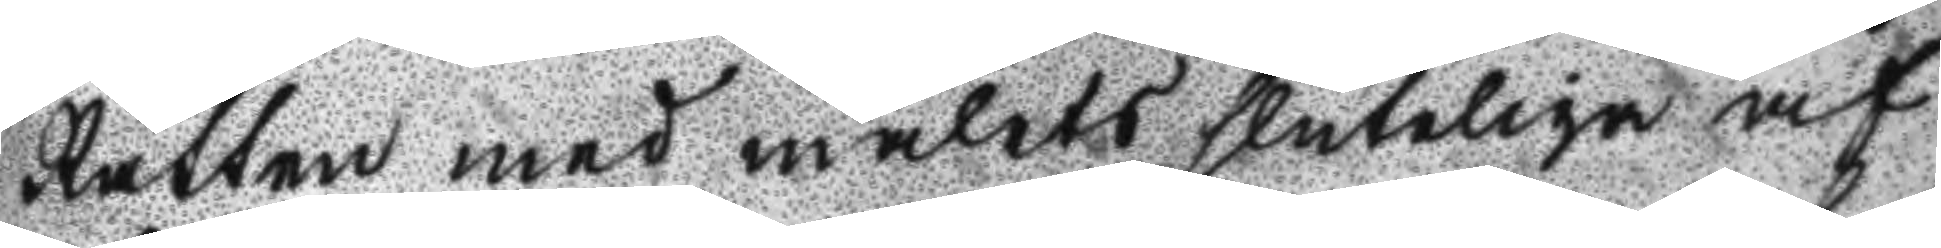Rätten med målets sluteliga af¬
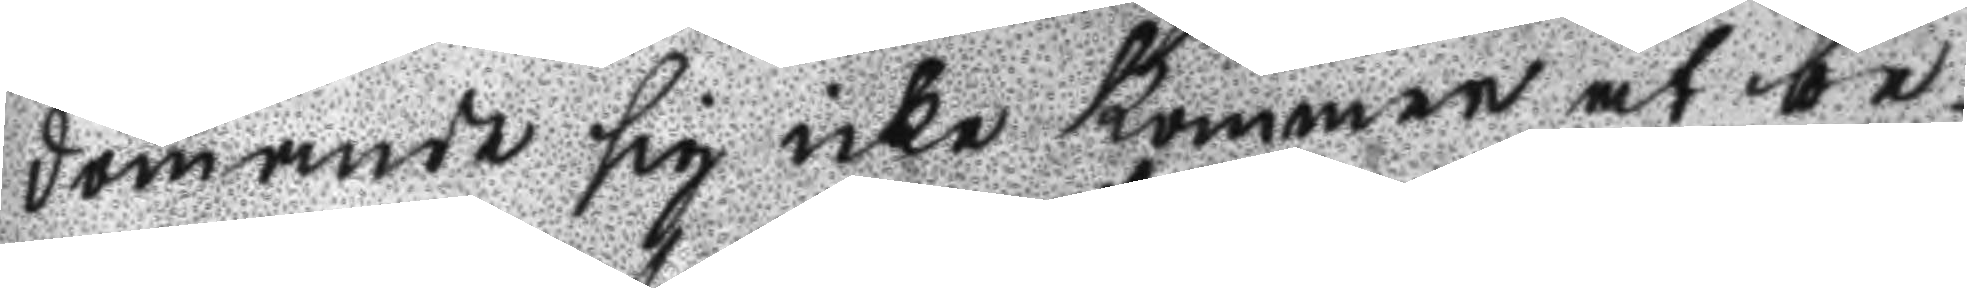dömande sig icke kommer at be¬
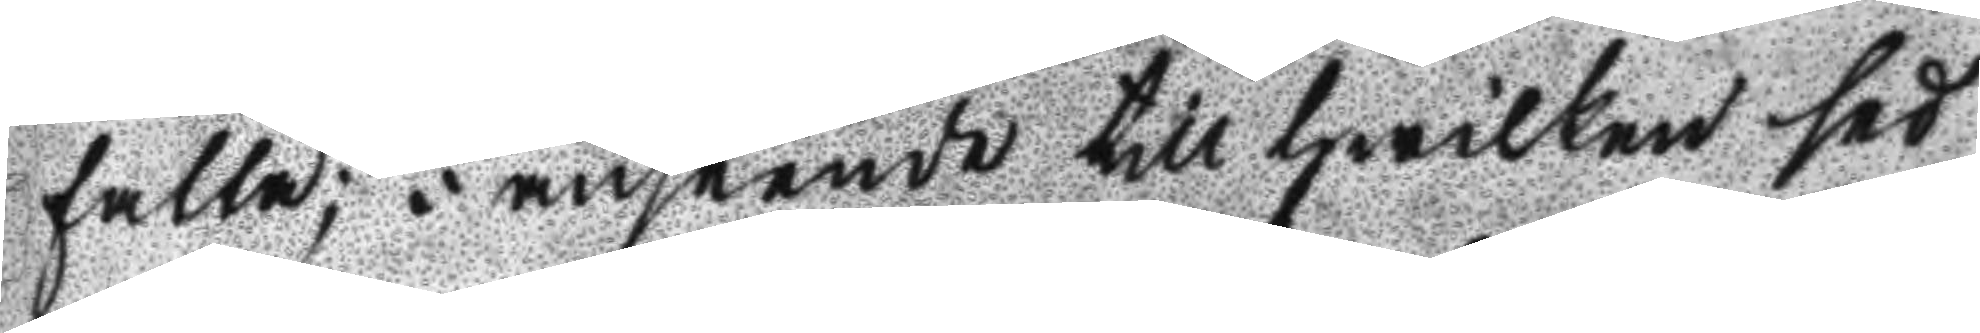fatta; I anseende till hwilken sed
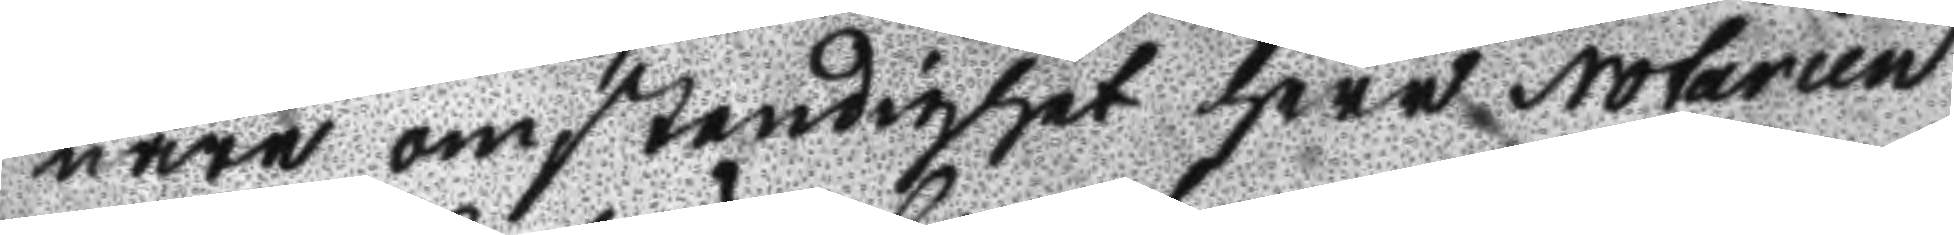nare omständighet Herr Notarien
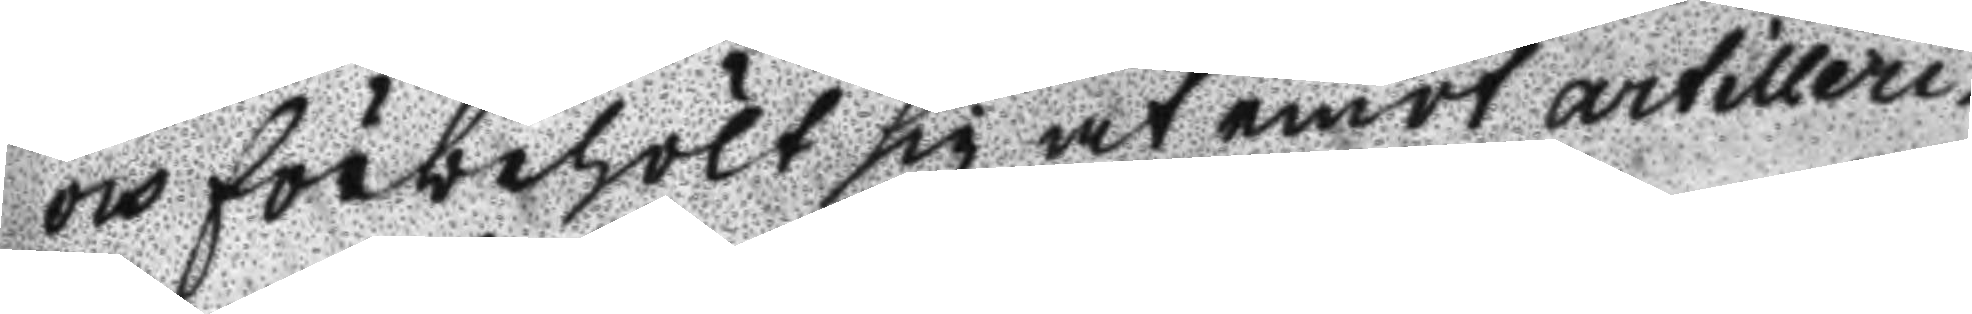och förbehölt sig at emot artilleri
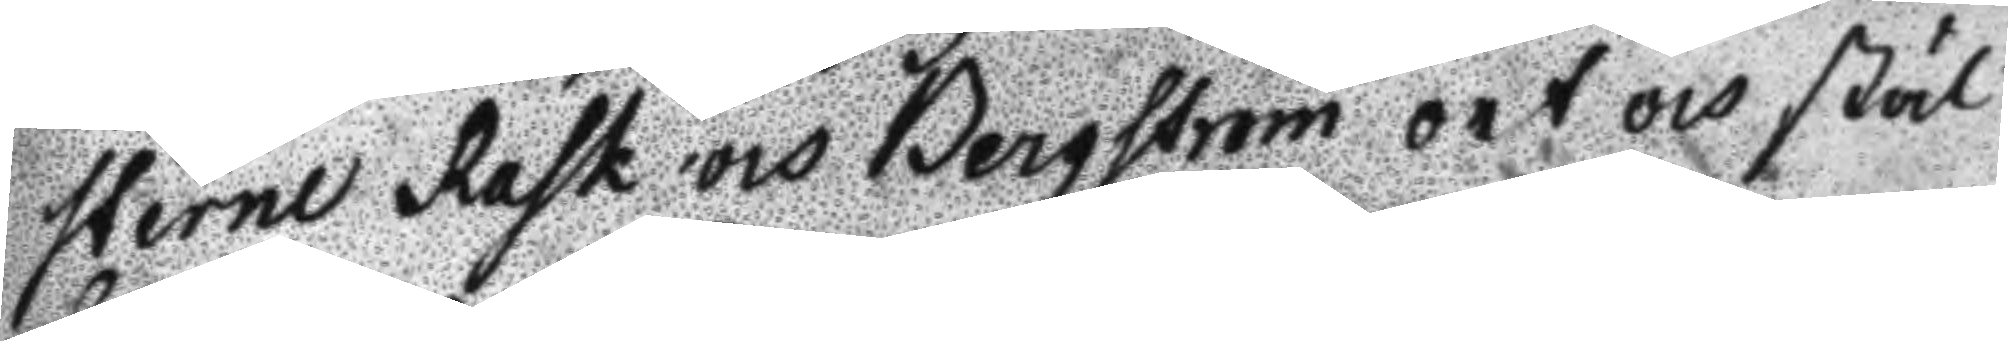sterne rask och Bergström ort och stäl
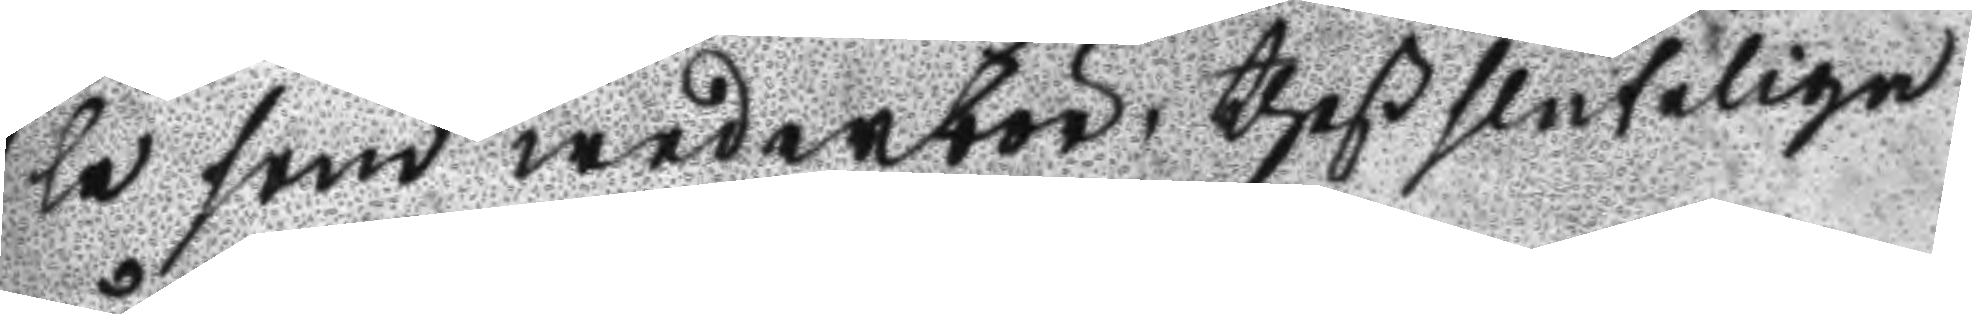le som wederbör, theß sluteliga
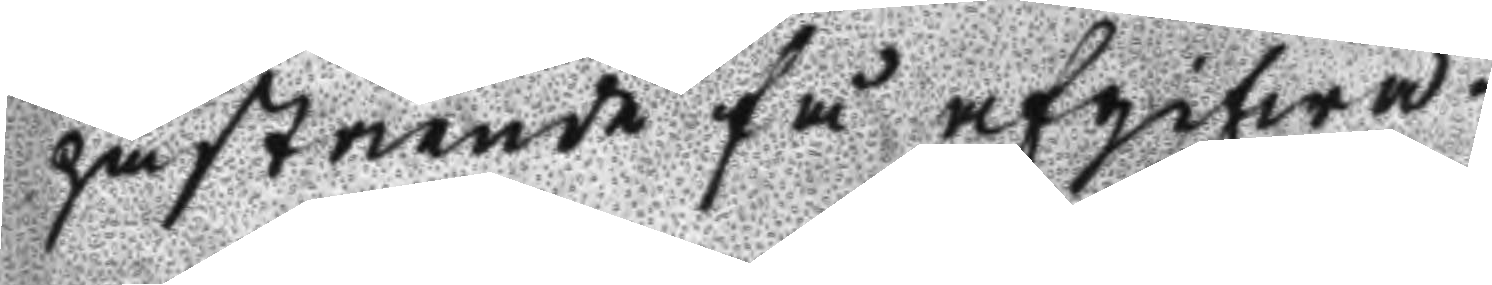påstående få afgifwa.
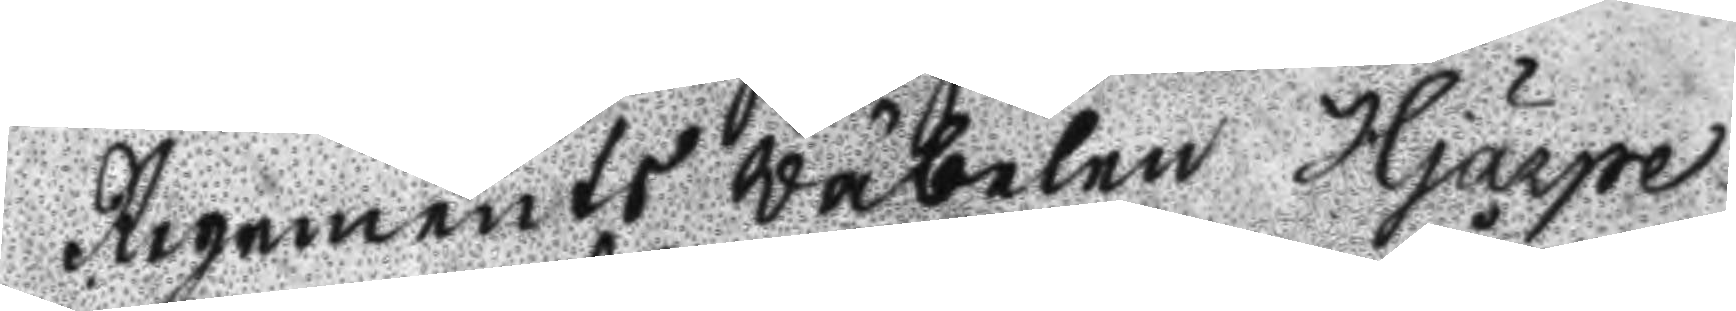Regements Wäbelen Hjärpe
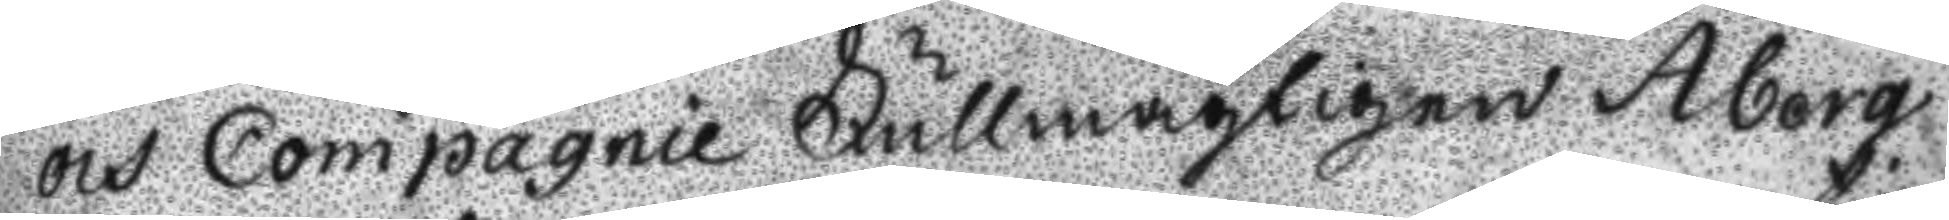och Compagnie Fullmägtigen Åberg
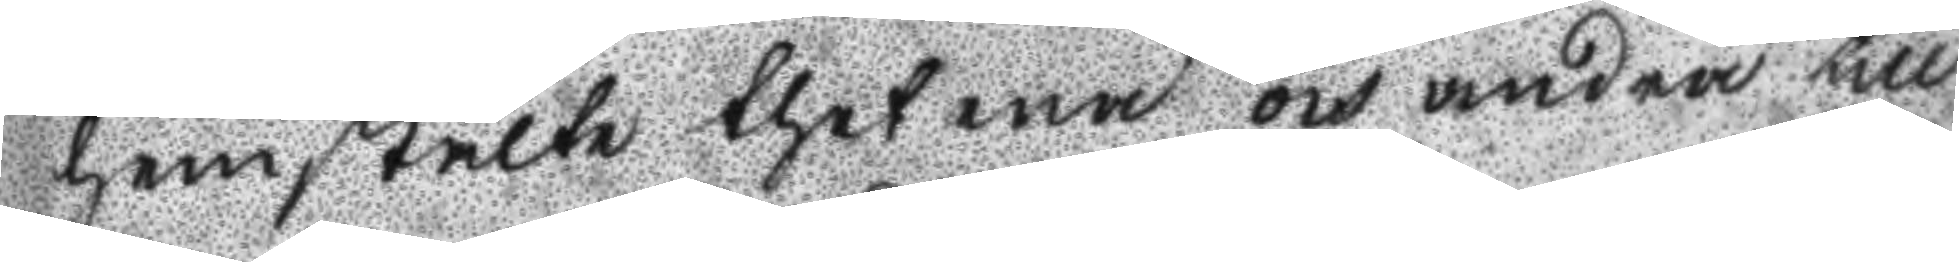hemstälte thet ena och andra till
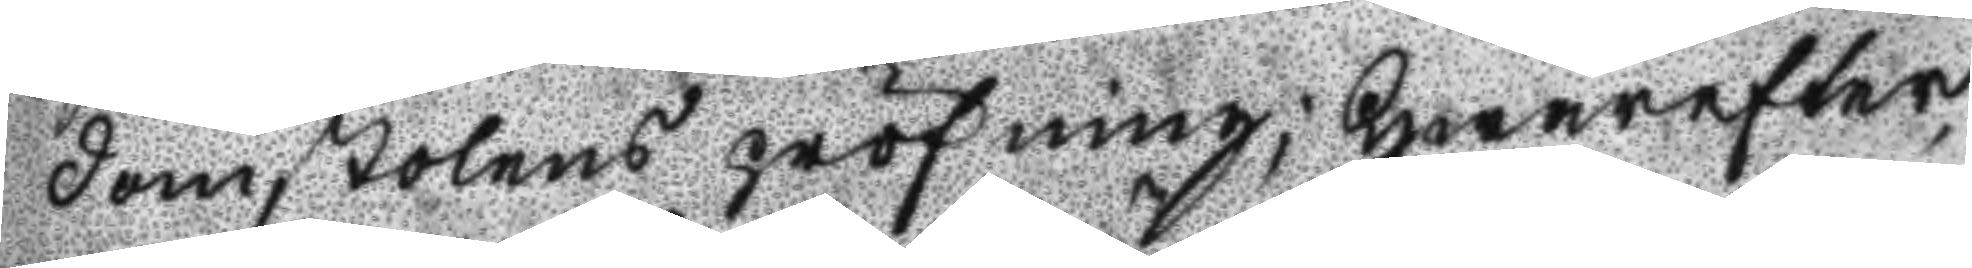domstolens pröfning; Hwarefter,
